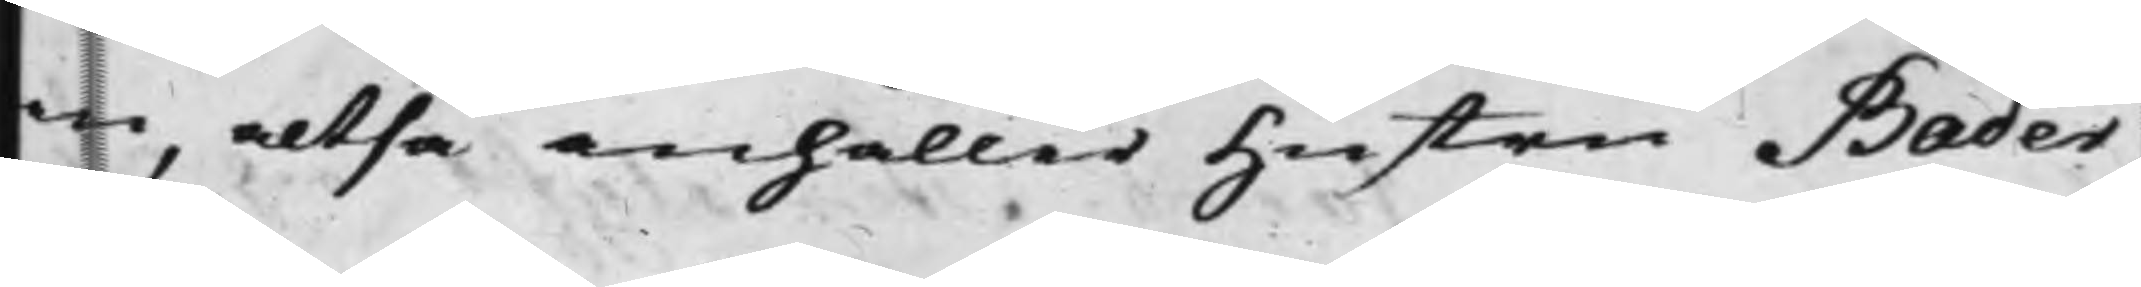an, altså anhåller hustru Bader,
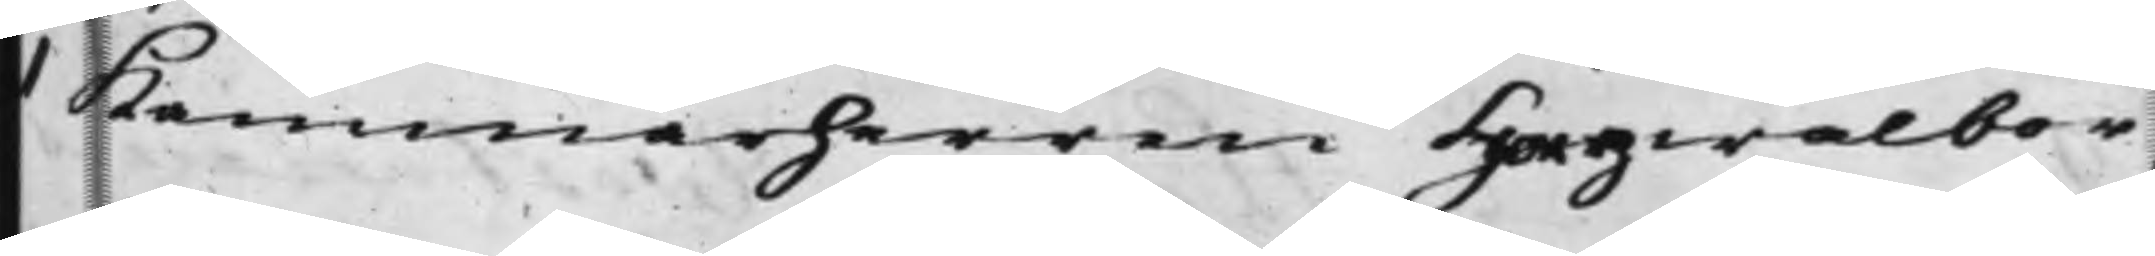t Kammarherren Högwälbor¬
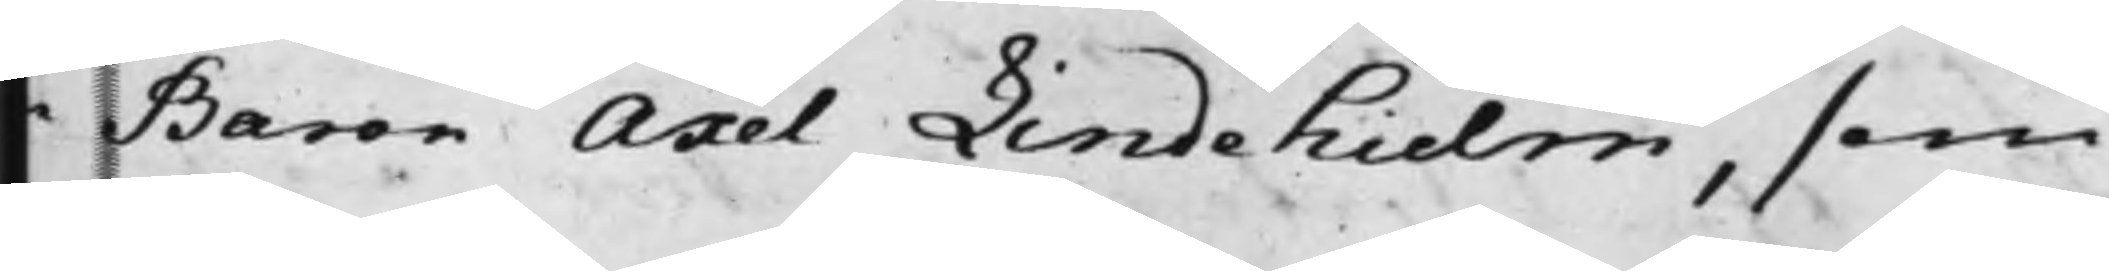e Baron Axel Lindehielm, som
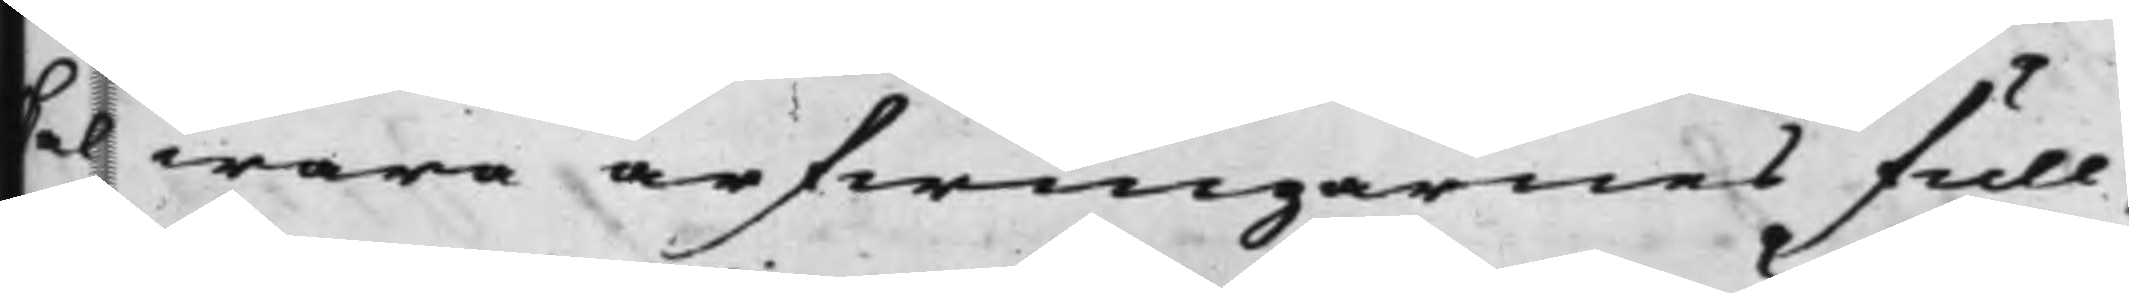kal wara arfwingarnes full¬
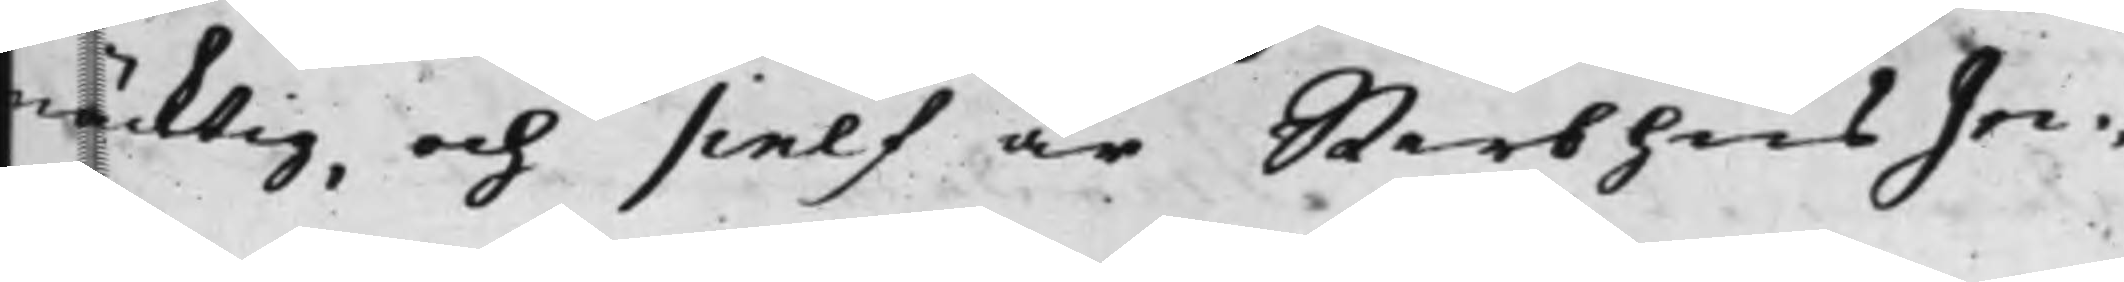mäcktig, och sielf är Sterbhus Jn¬
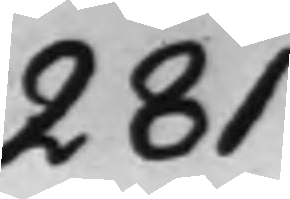281
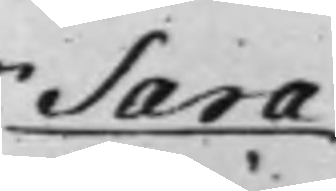Sara
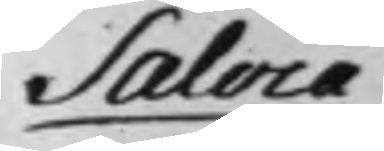Salvia
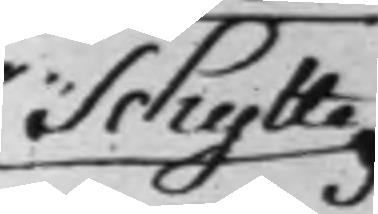Schytte
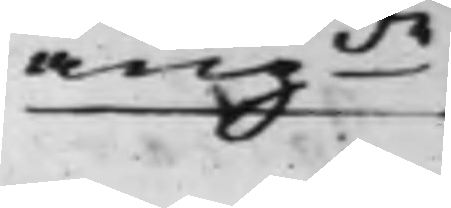angde
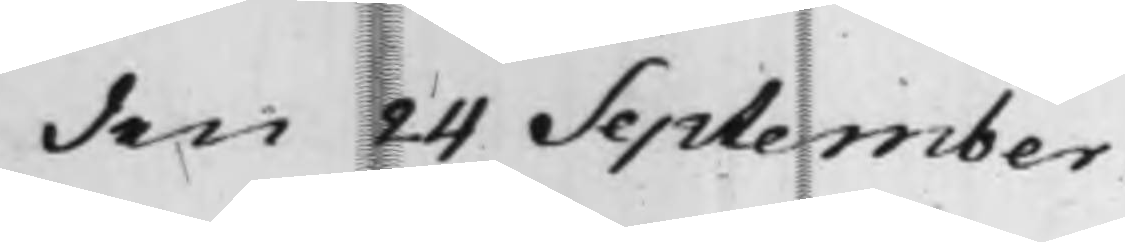den 24 September
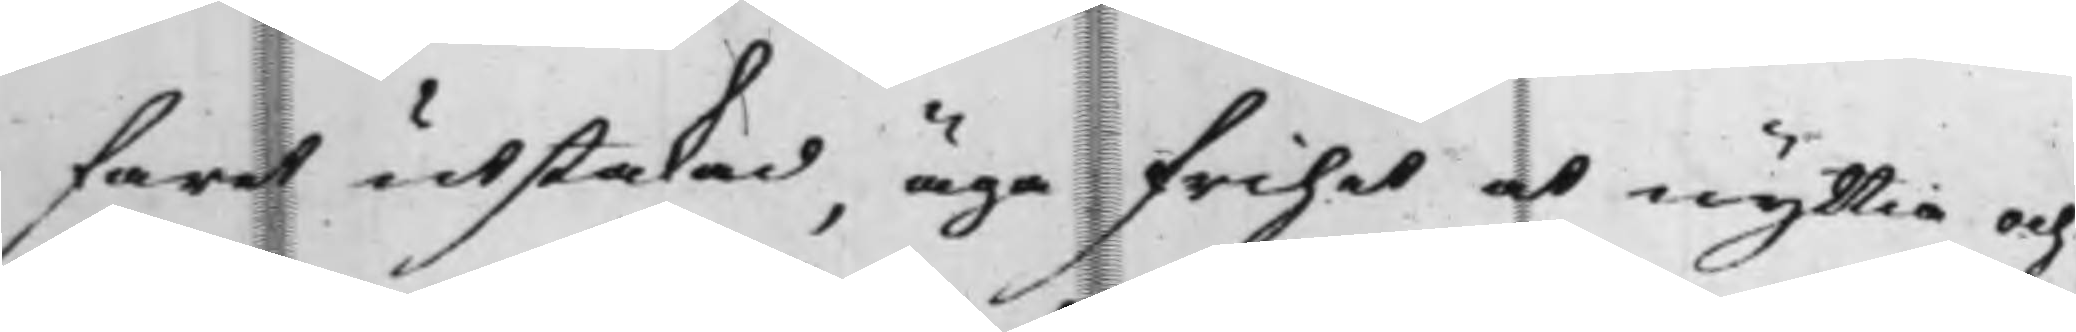fart utstakad, äga frihet at nyttia och
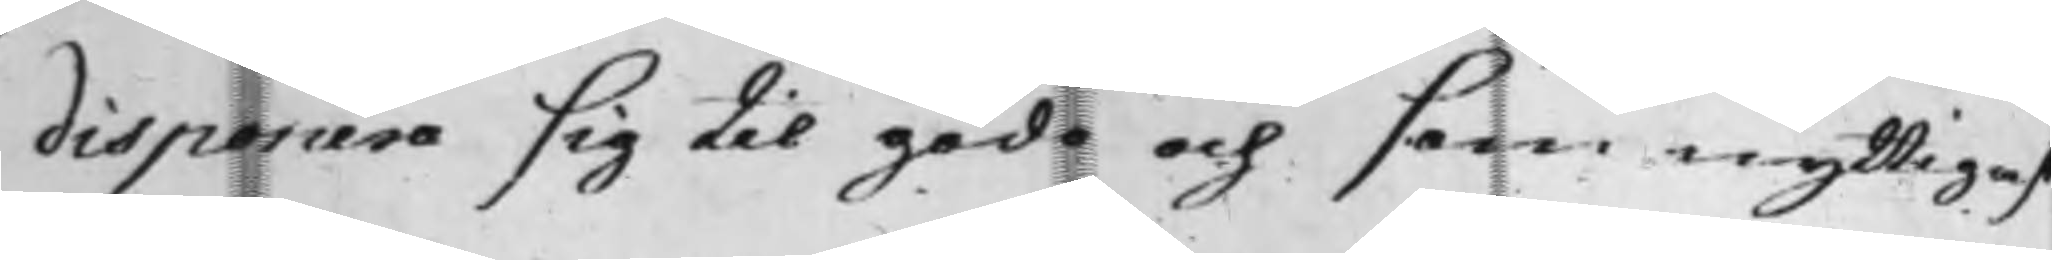disponera sig til godo och som nyttigast
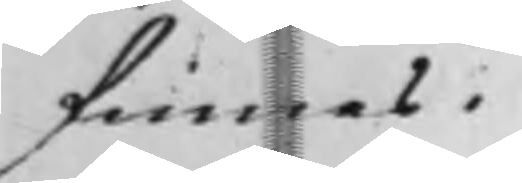finnes.
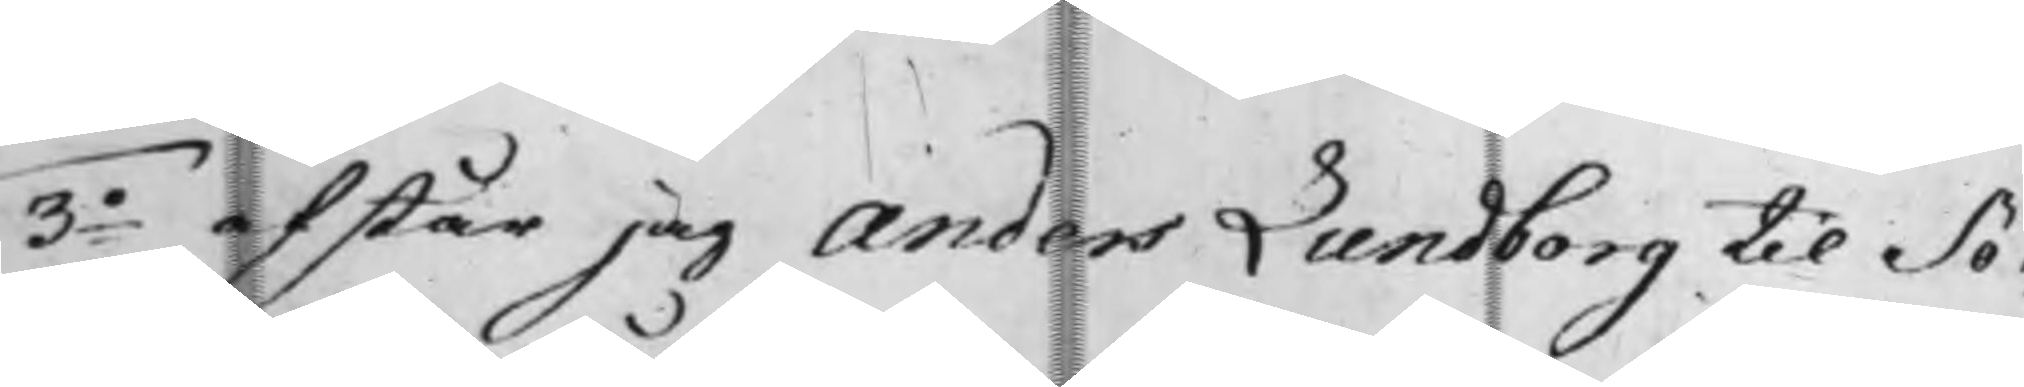3o Afstår jag Anders Lundborg til Sö¬
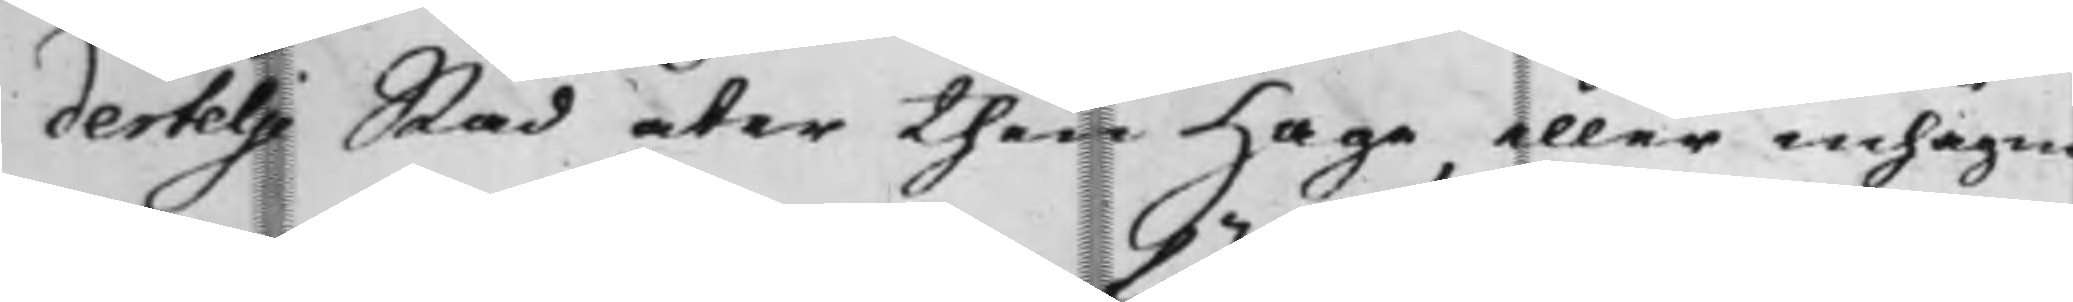dertelje Stad åter then Hage, eller inhägna¬
